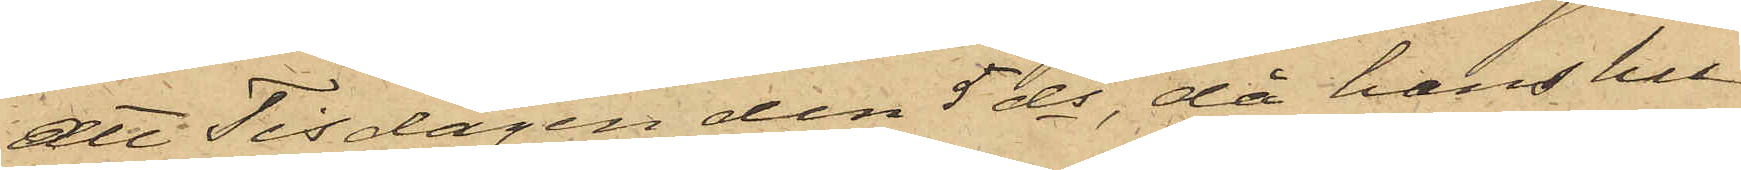att Tisdagen den 5 ds, då hans hu¬
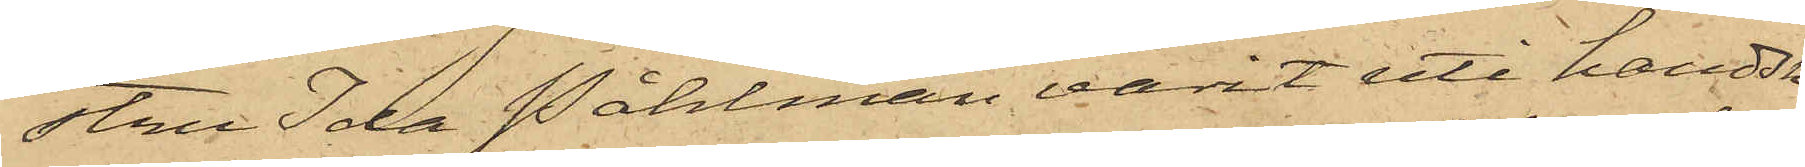stru Ida Påhlman varit uti handsk¬
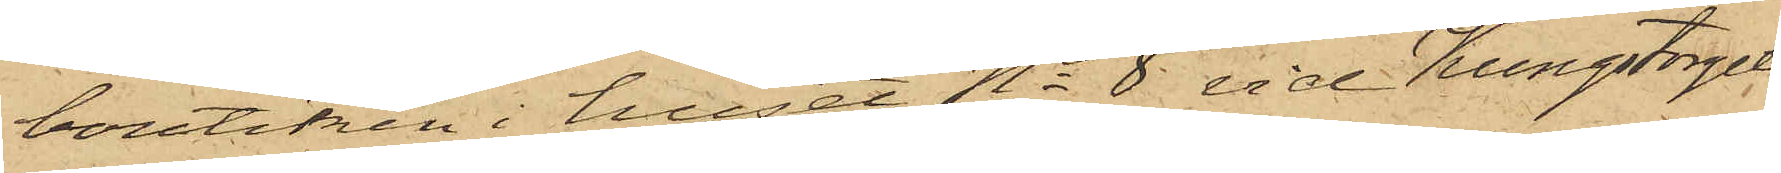boutiken i huset No 8 vid Kungstorget
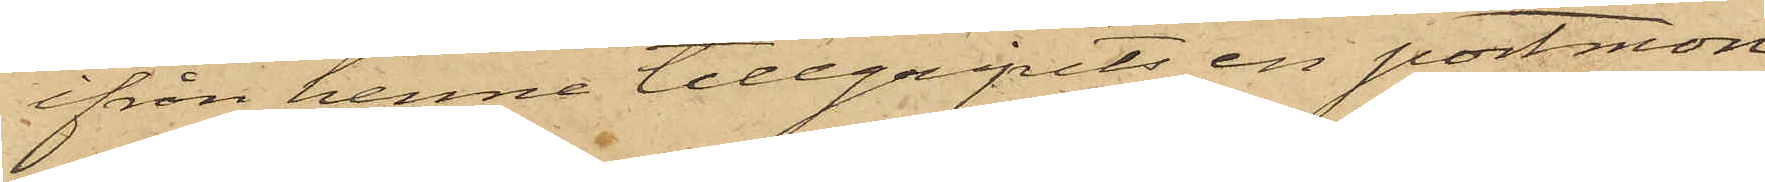ifrån henne tillgripits en portmon¬
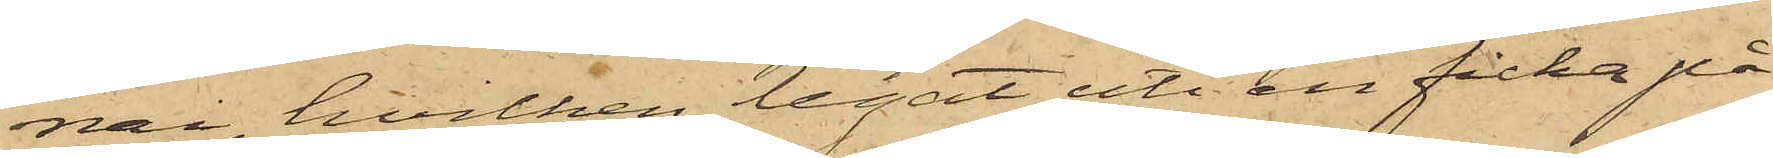nai, hvilken legat uti en ficka på
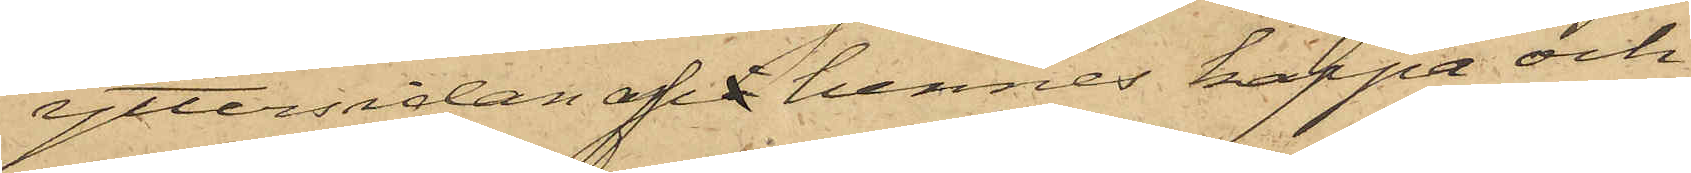yttersidan af hennes kappa och
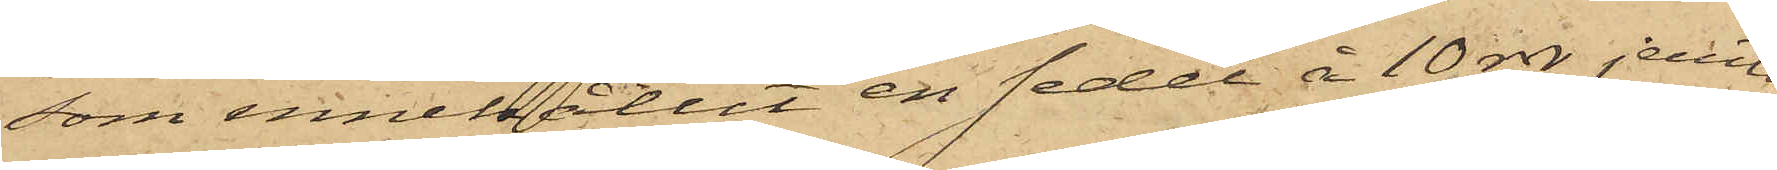som innehållit en sedel å 10 rdr jemte
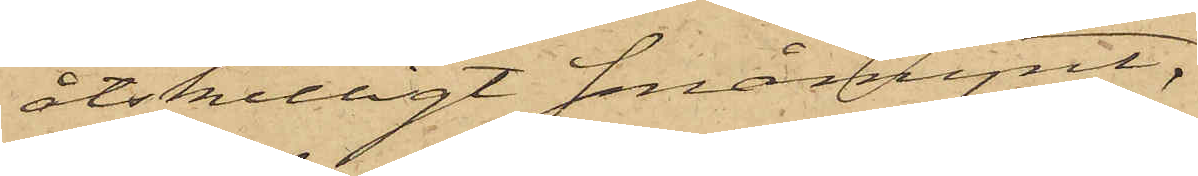åtskilligt småmynt;
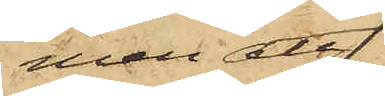men att
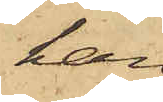han
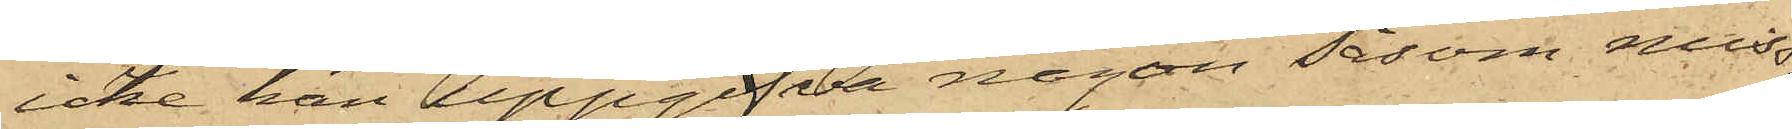icke kan uppgifva någon såsom miss¬
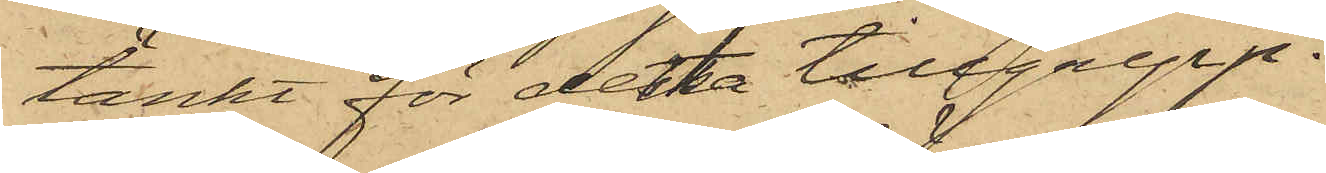tänkt för detta tillgrepp.
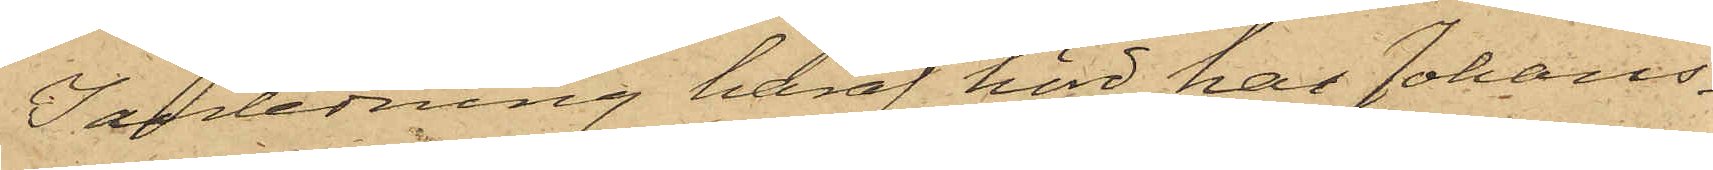I anledning häraf hörd har Johans¬
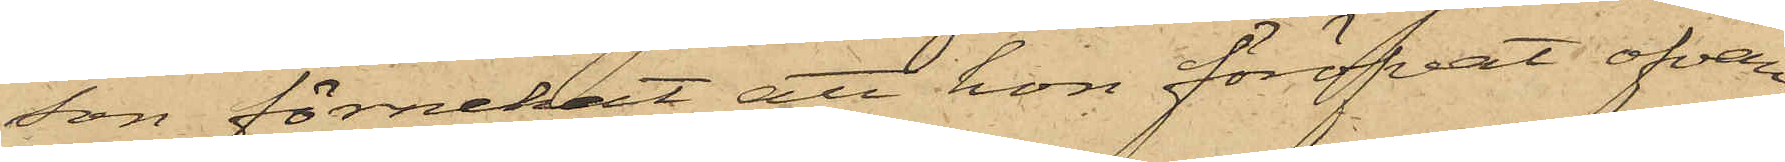son förnekat att hon föröfvat ofvan¬
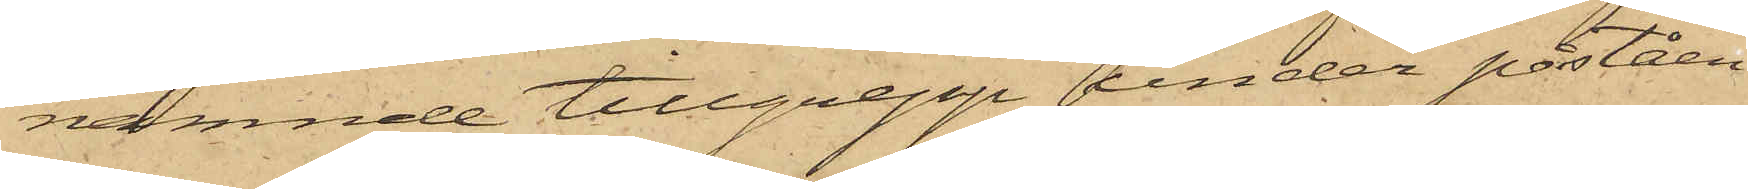nämnde tillgrepp under påståen¬
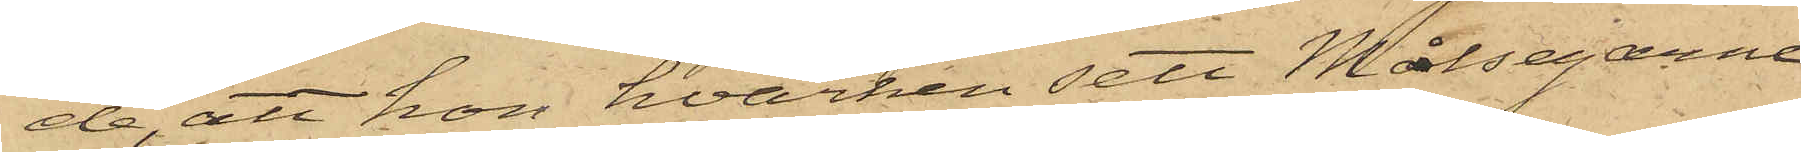de, att hon hvarken sett Målsegarne
